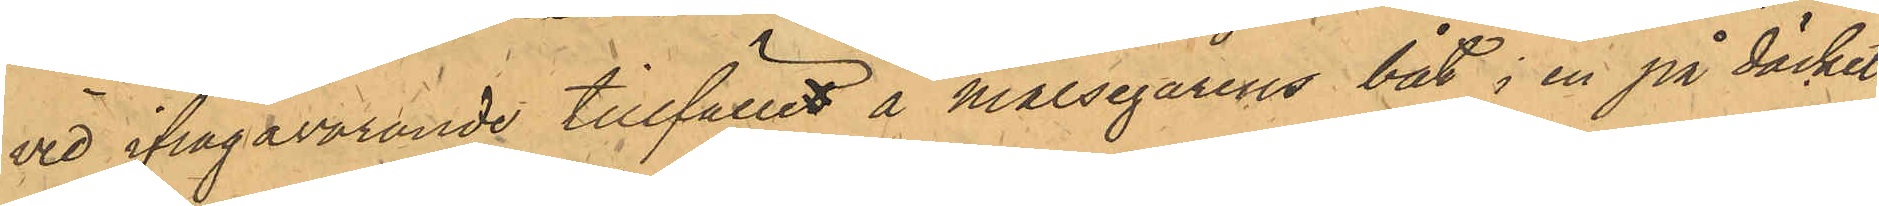vid ifrågavarande tillfället å Målsegarens båt i en på däcket
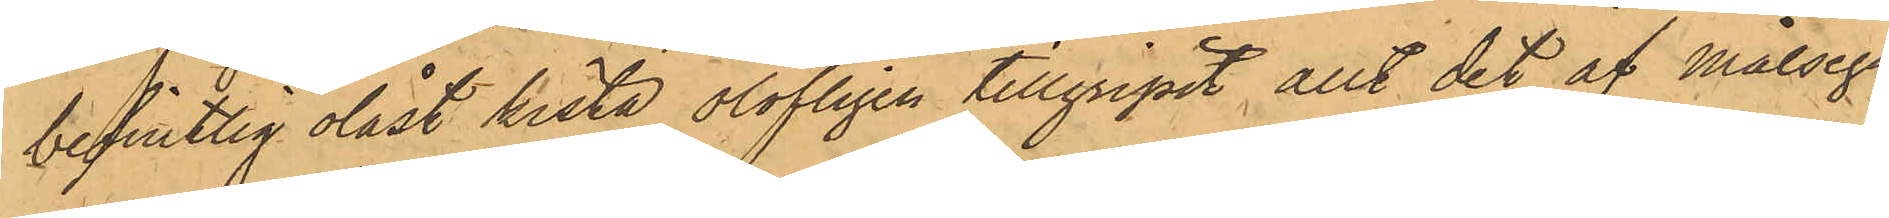befintlig olåst kista olofligen tillgripit allt det af målsega¬
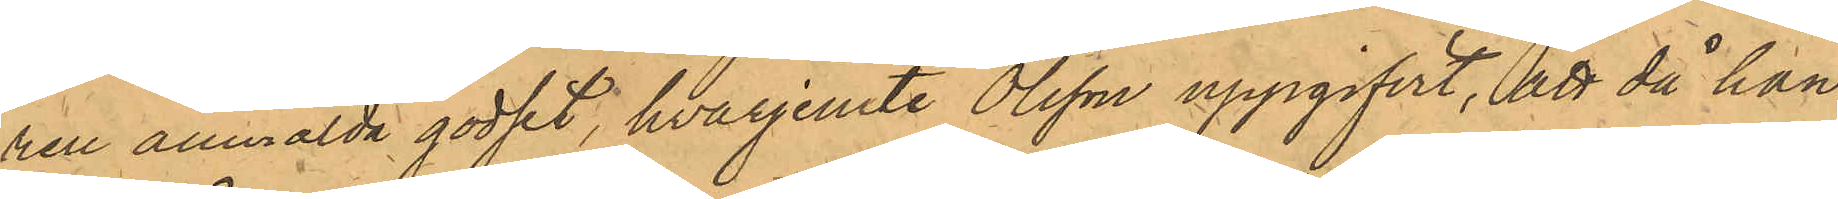ren anmälda godset, hvarjemte Olsson uppgifvit, att då han
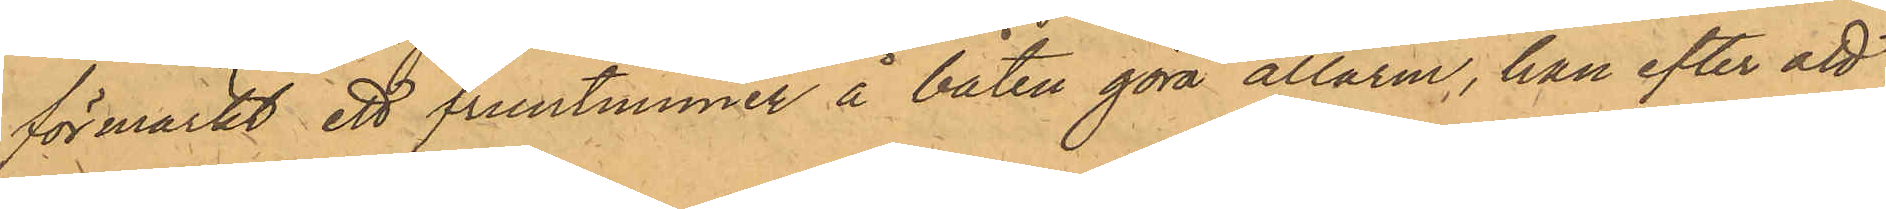förmärkt ett fruntimmer å båten göra allarm, han efter att
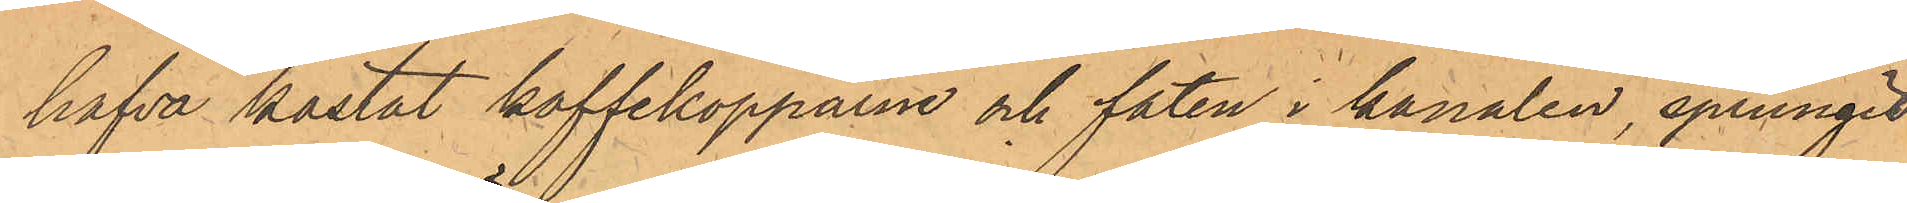hafva kastat kaffekopparne och faten i kanalen, sprungit
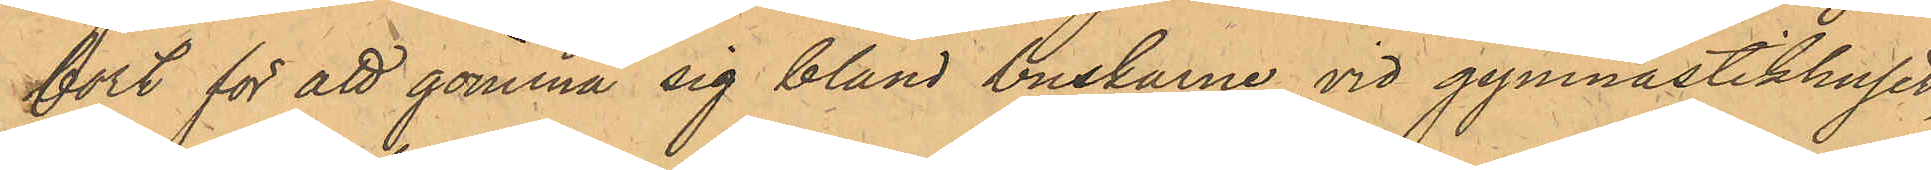bort för att gömma sig bland buskarne vid gymnastikhuset,
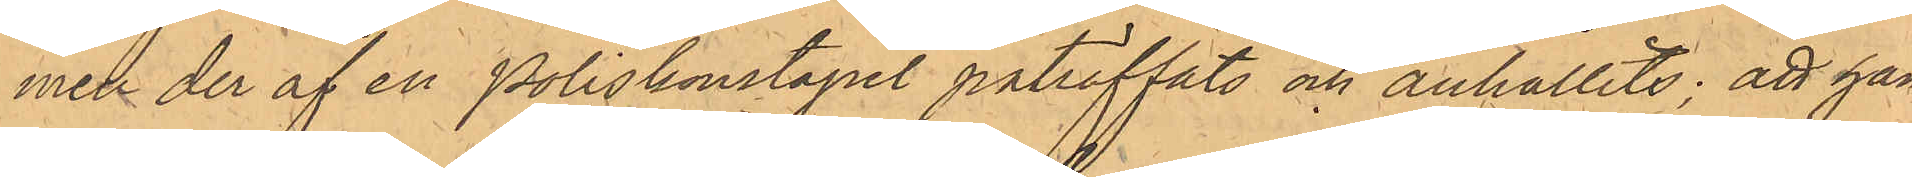men der af en Poliskonstapel påträffats och anhållits; att han
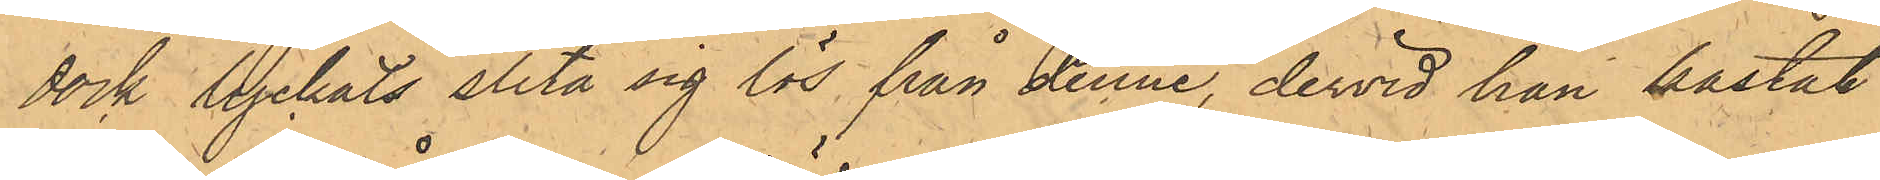dock lyckats slita sig lös från denne, dervid han kastat
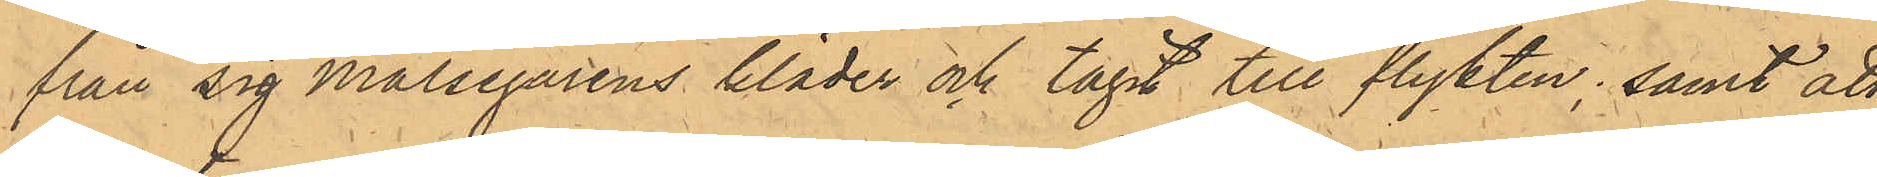från sig Målsegarens kläder och tagit till flykten; samt att
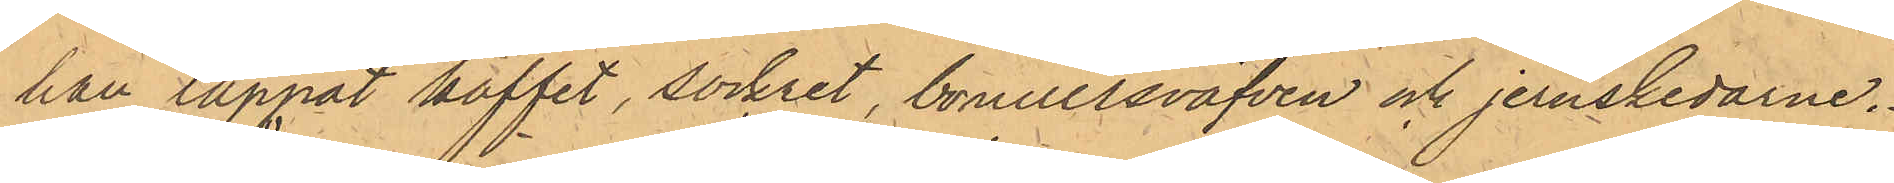han tappat kaffet, sockret, bomullsväfven och jernskedarne.
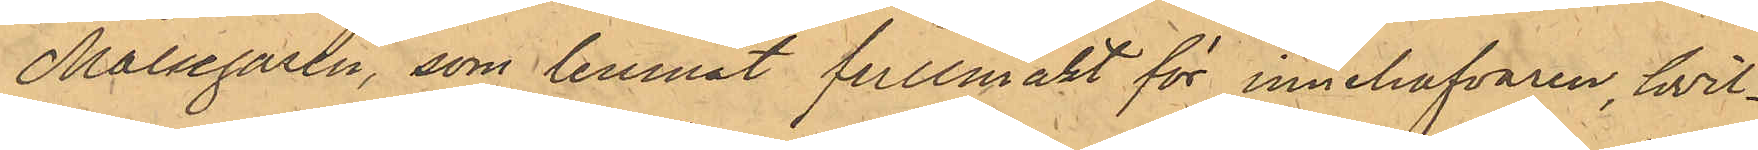Målsegaren, som lemnat fullmakt för innehafvaren, hvil¬
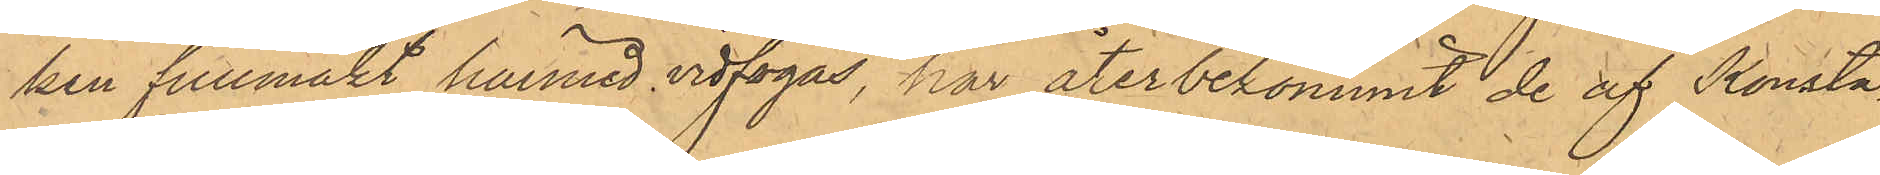ken fullmakt härmed vidfogas, har återbekommit de af Konsta¬
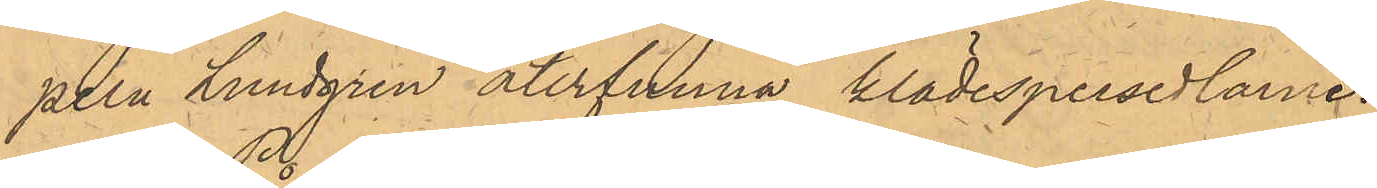peln Lundgren återfunna klädespersedlarne.
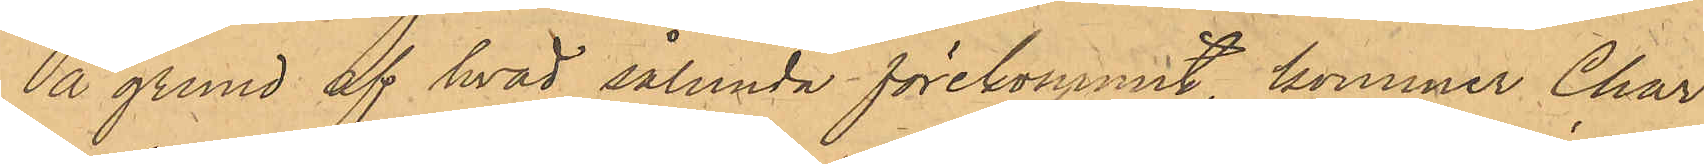På grund af hvad sålunda förekommit, kommer Char¬
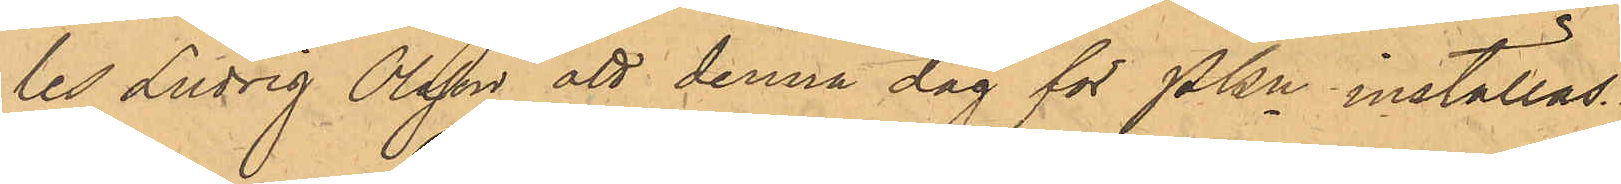les Ludvig Olsson att denna dag för PKn inställas.
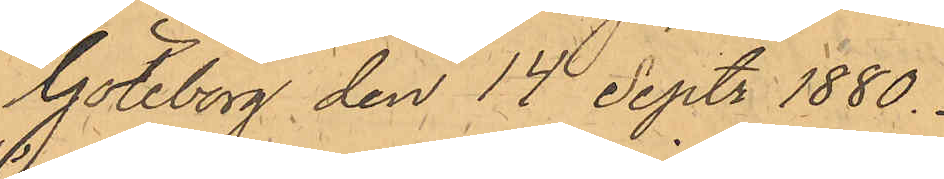Göteborg den 14 Sept. 1880.
